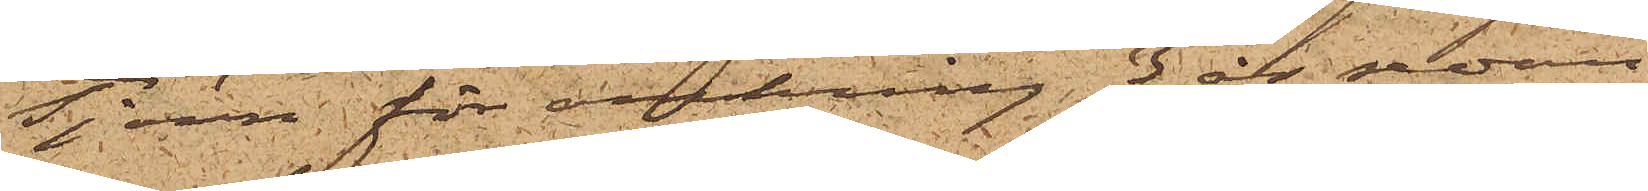Tjörn för omkring 3 år sedan;
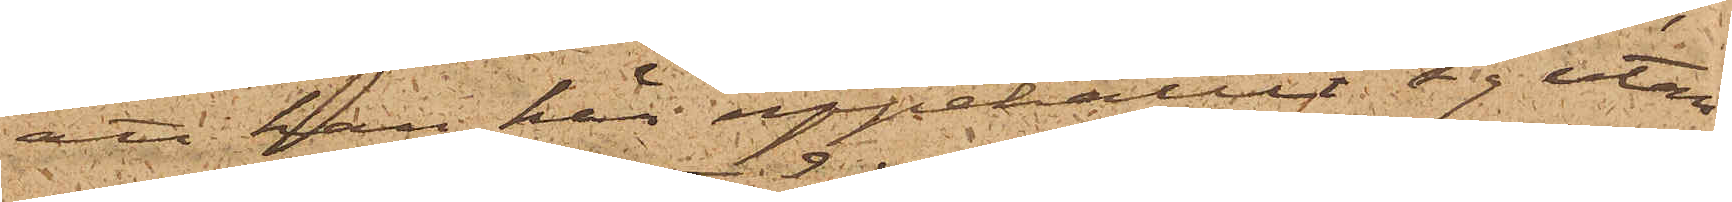att han här uppehållit sig utan
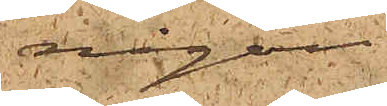någon
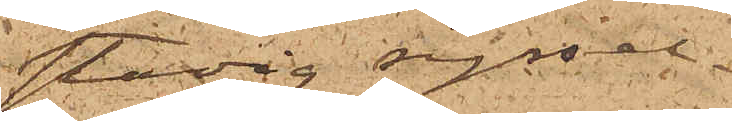stadig syssel¬
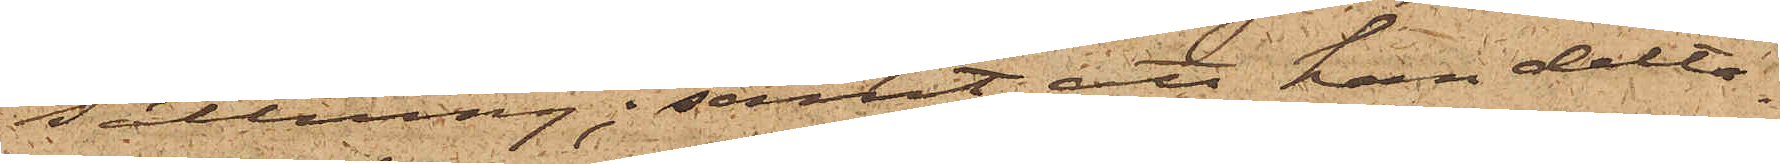sättning; samt att han delta¬
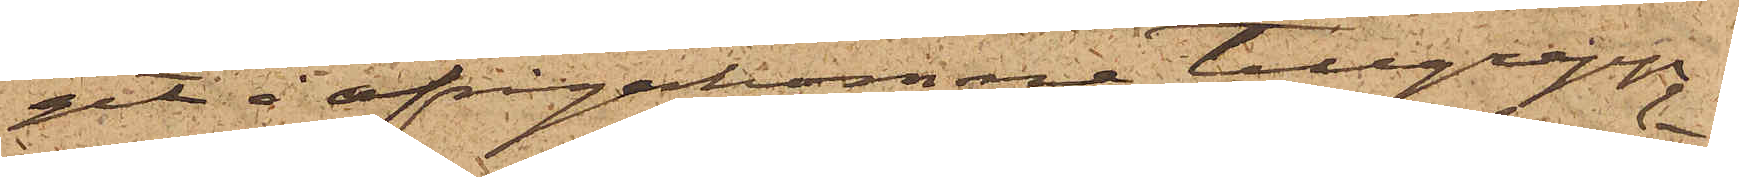git å ifrågakomne tillgrepp,
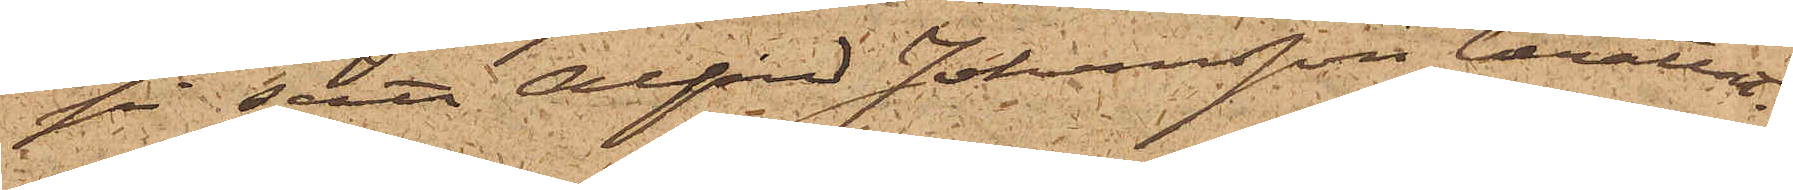på sätt Alfred Johansson berättat.
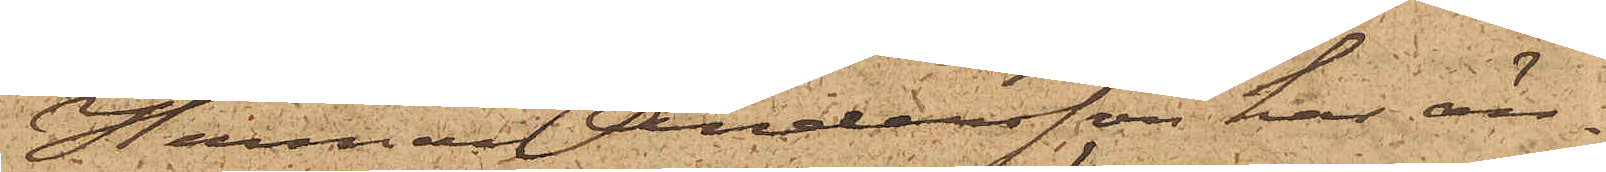Herman Andersson har än¬
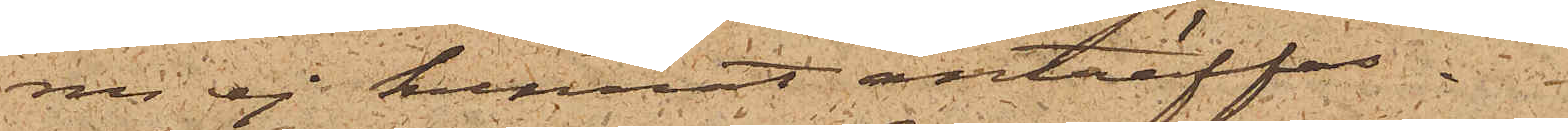nu ej kunnat anträffas.
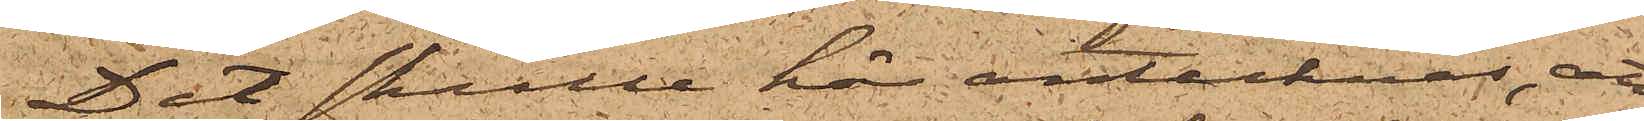Det skulle här antecknas, att
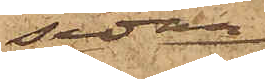sedan
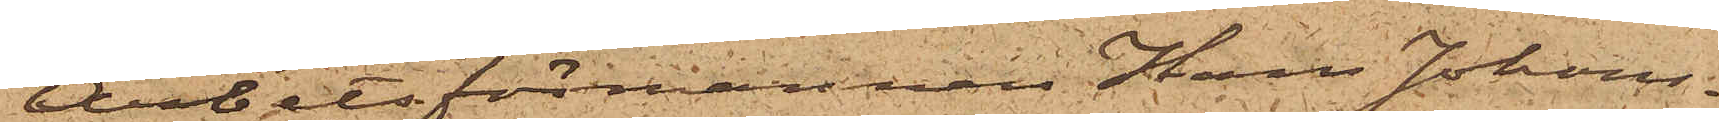Arbetsförmannen Hans Johans¬
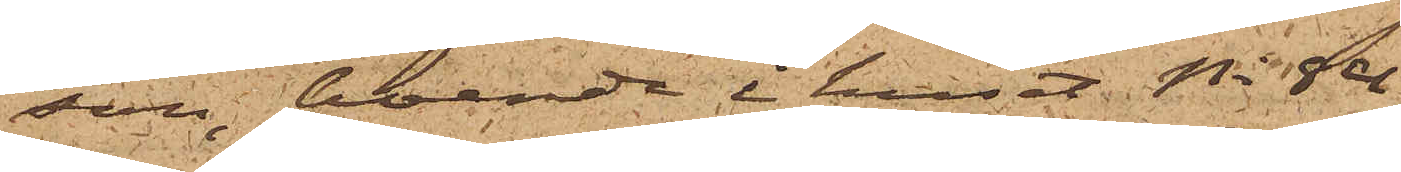son, boende i huset No 84
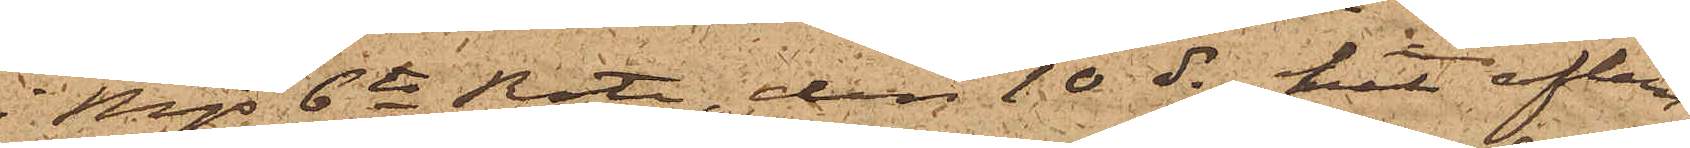i Mjs 6te Rote, den 10 ds hit aflem¬
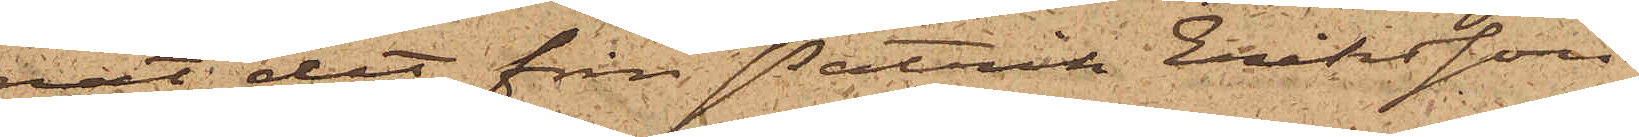nat det från Patrik Erikssons
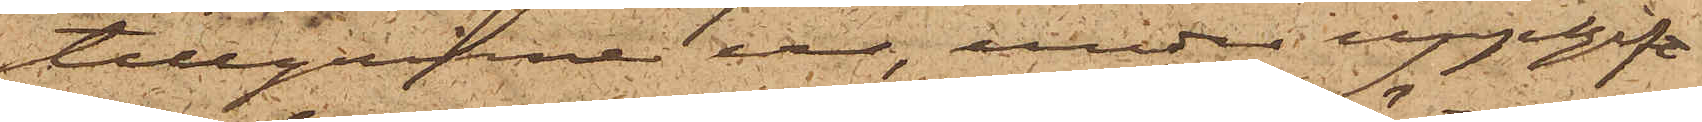tillgripne ur, under uppgift
